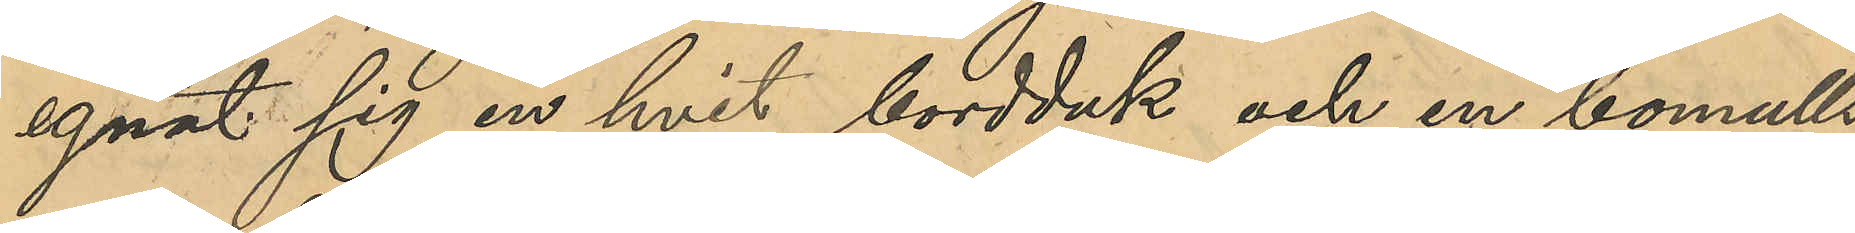egnat sig en hvit bordduk och en bomulls¬
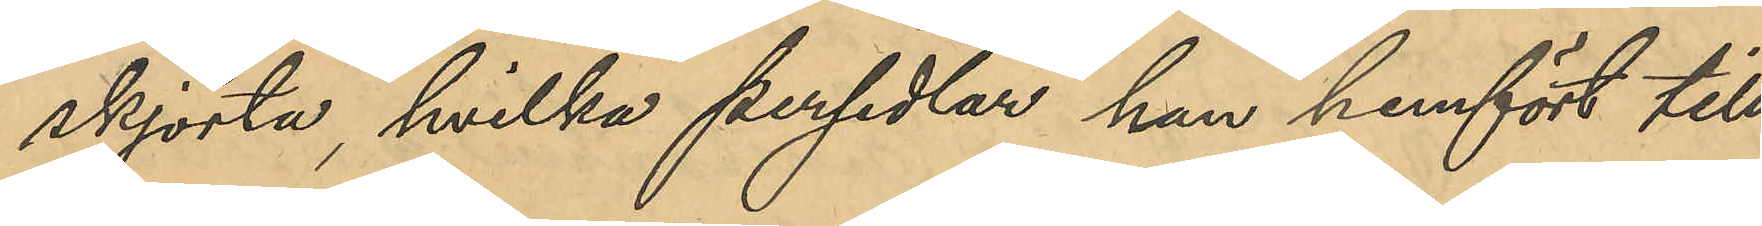skjorta hvilka persedlar han hemfört till
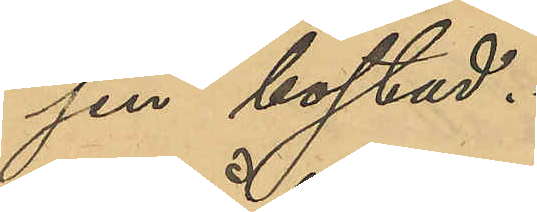sin bostad.
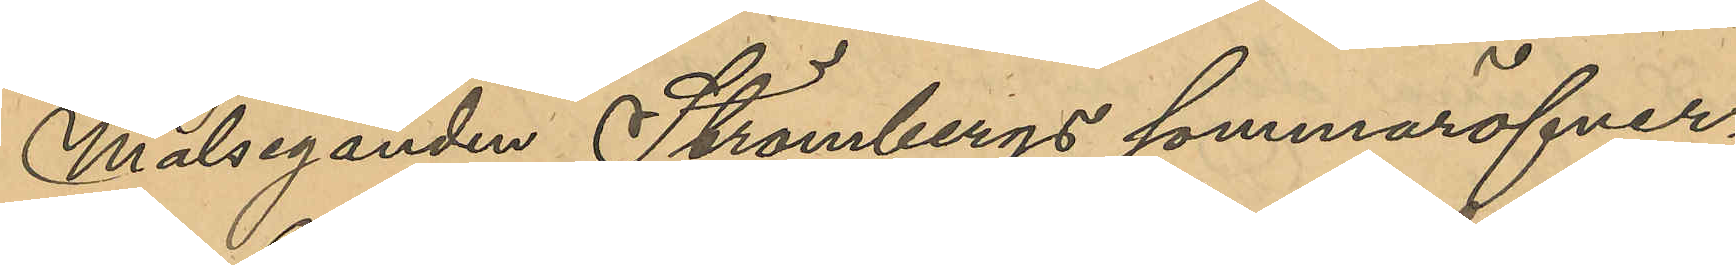Målseganden Strömbergs sommaröfver¬
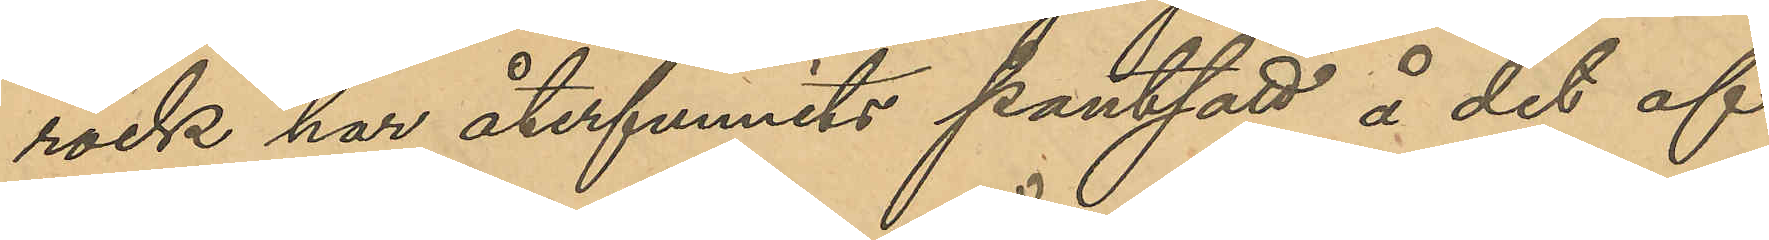rock har återfunnits pantsatt å det af
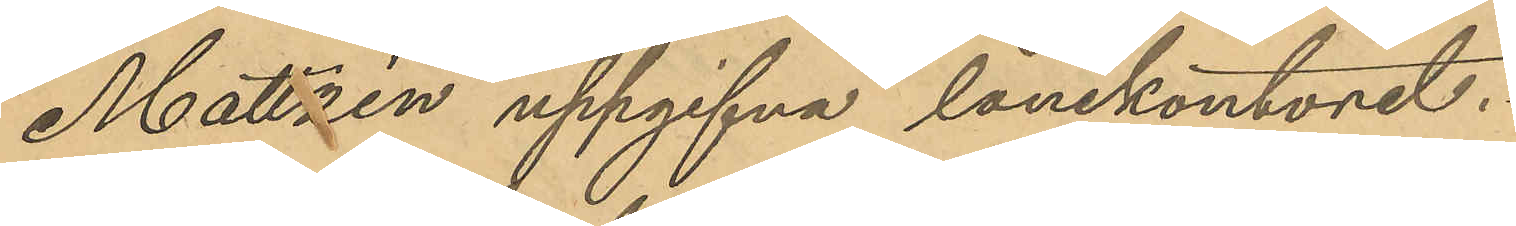Mattzén uppgifna lånekontoret.
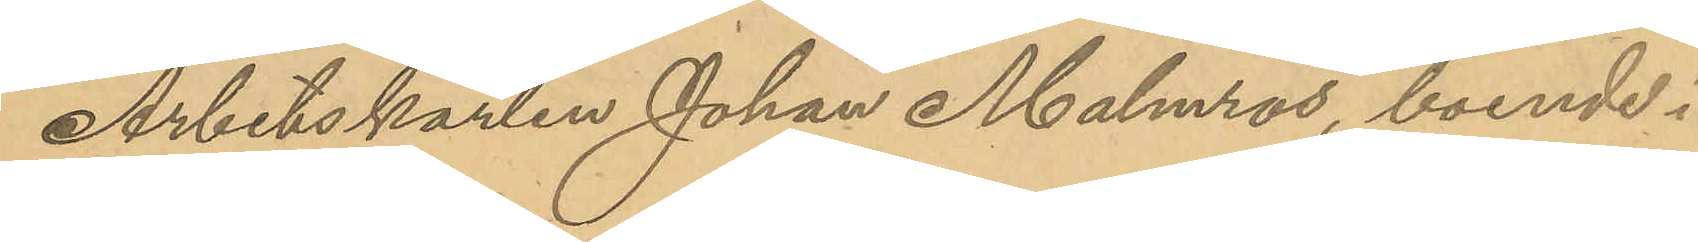Arbetskarlen Johan Malmros, boende i
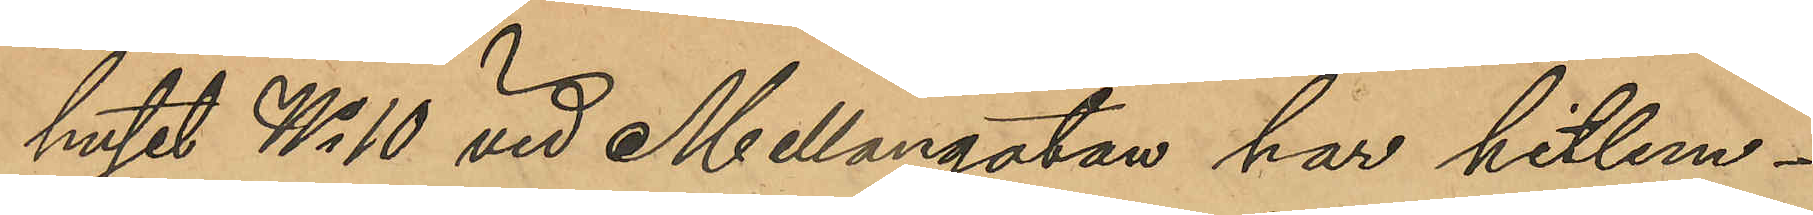huset No 10 vid Mellangatan har hitlem¬
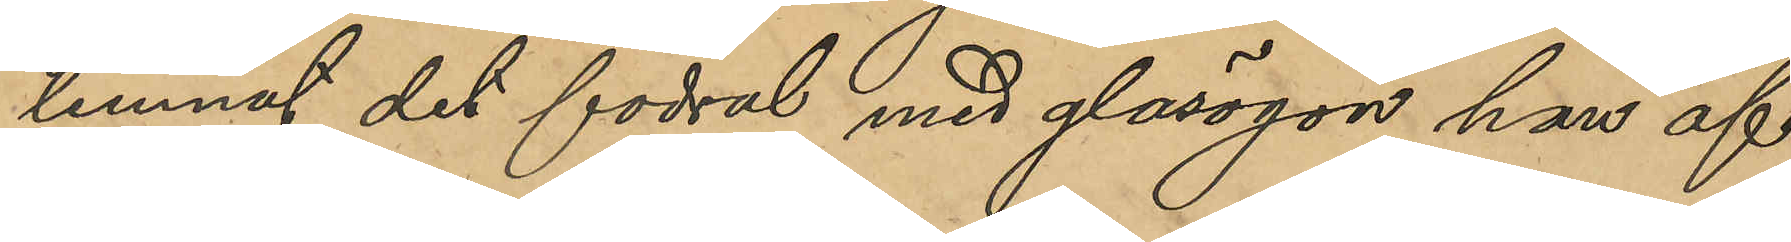lemnat det fodral med glasögon han af
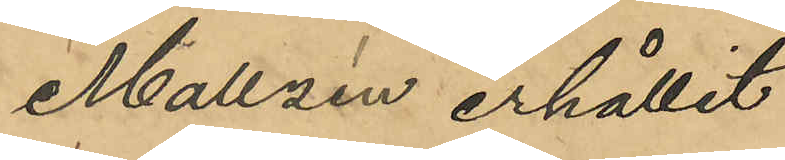Mattzén erhållit.
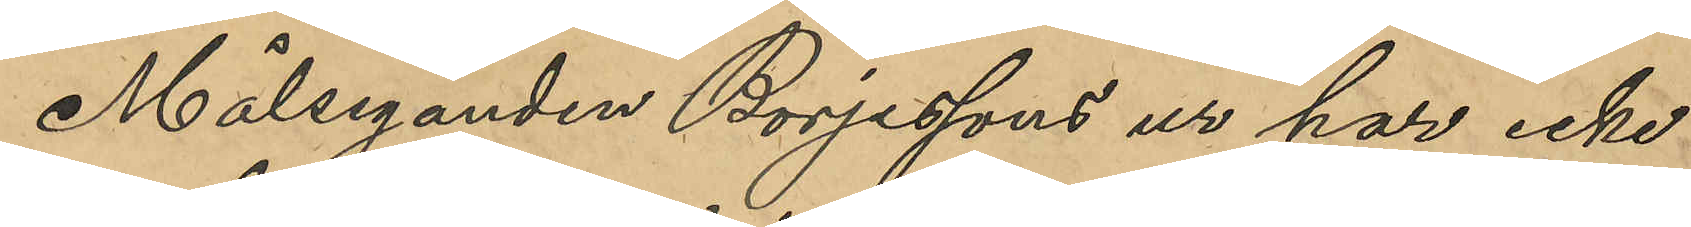Målseganden Börjessons ur har icke 
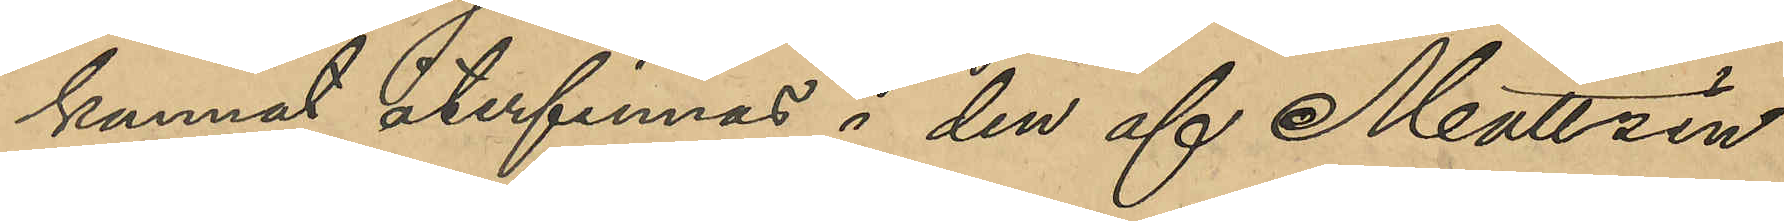kunnat återfinnas i den af Mattzén
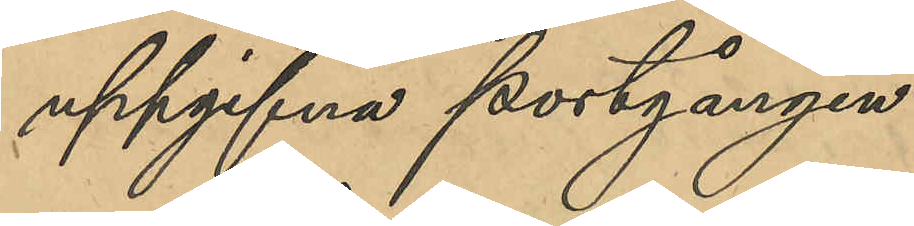uppgifna portgången.
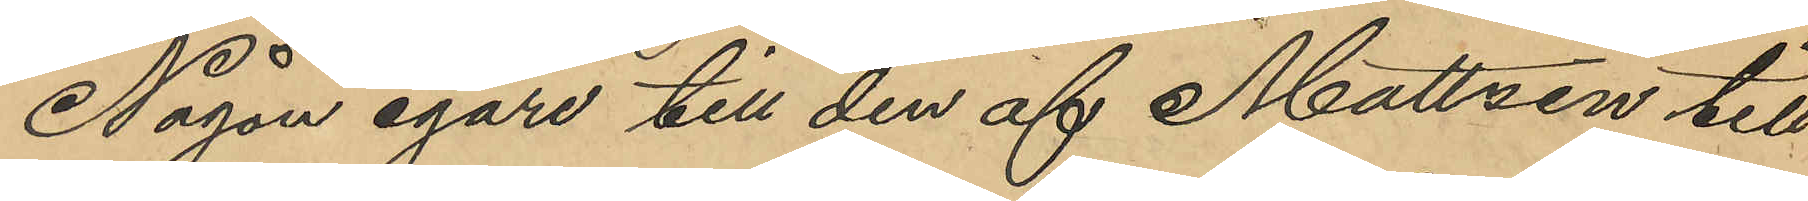Någon egare till den af Mattzén till¬
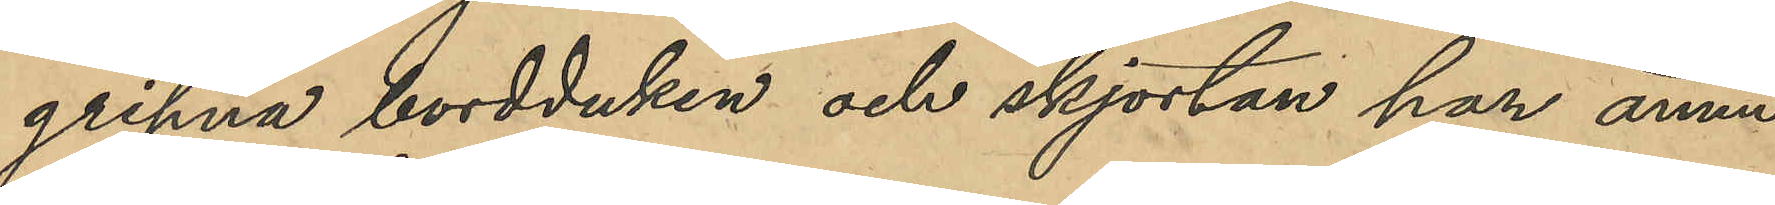gripna bordduken och skjortan har ännu
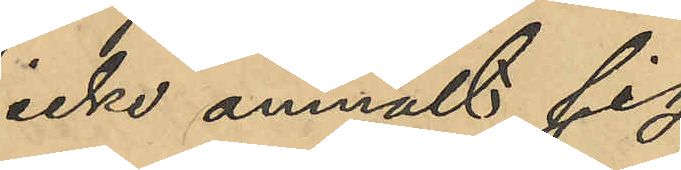icke anmält sig.
